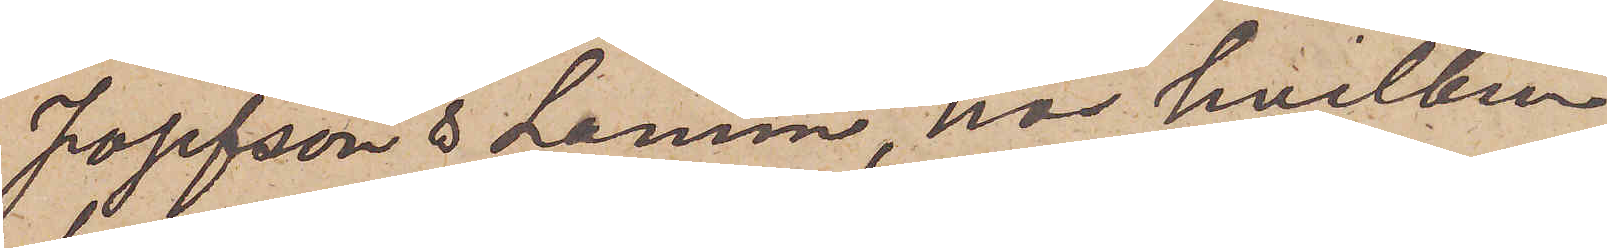Josefson & Lamm, hos hvilken
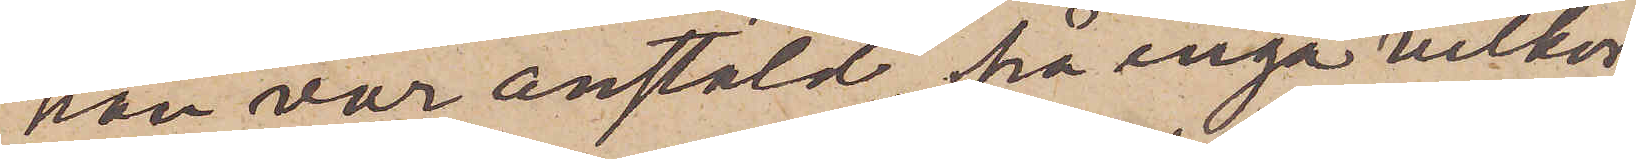han var anstäld, på inga vilkor
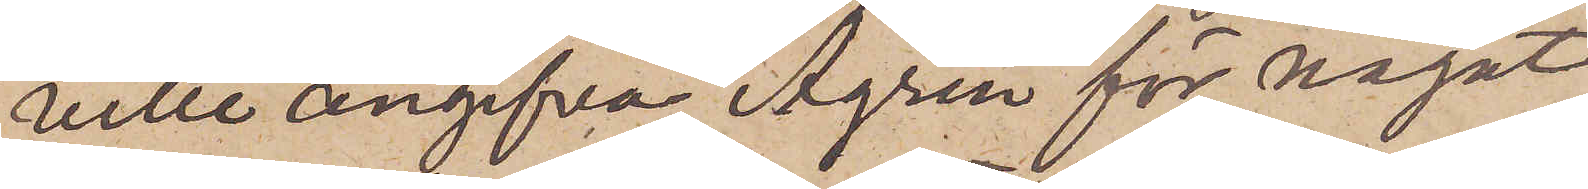ville angifva Ågren för något
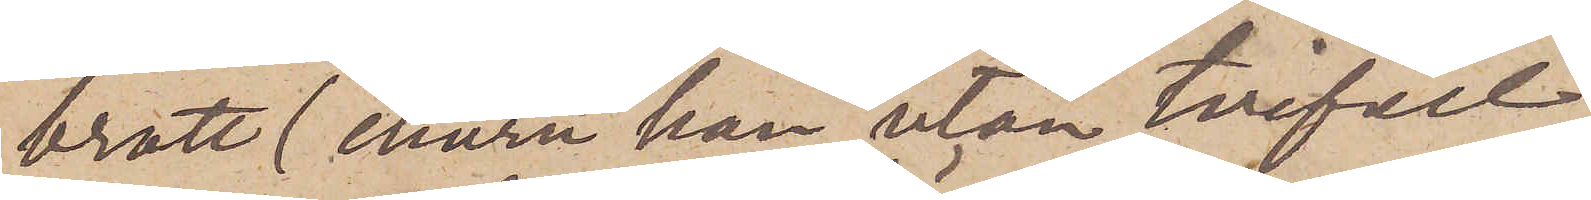brott (ehuru han utan tvifvel
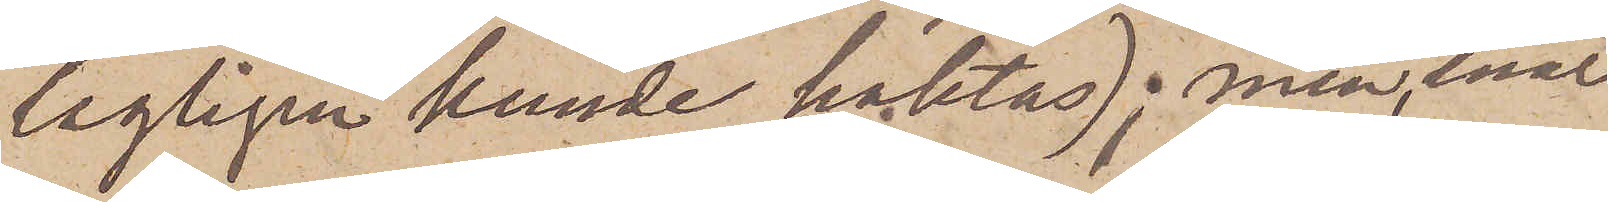lagligen kunde häktas); men, enär
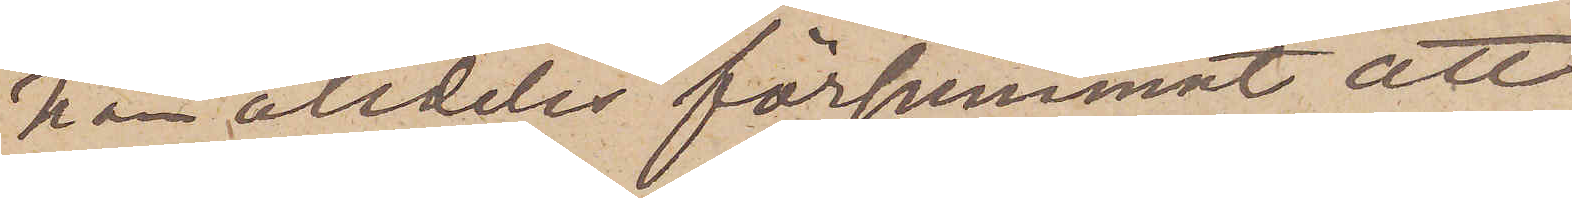han alldeles försumnat att
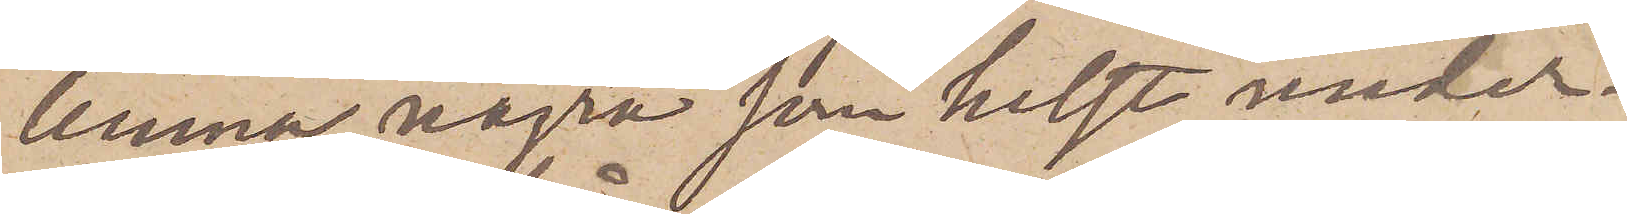lemna några som helst under¬
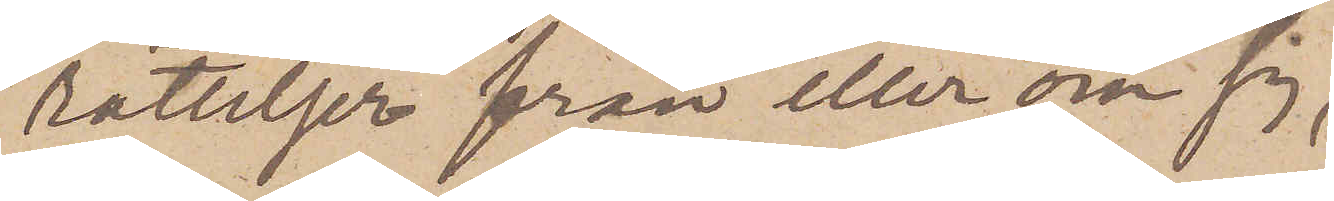rättelser från eller om sig,
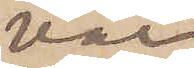var
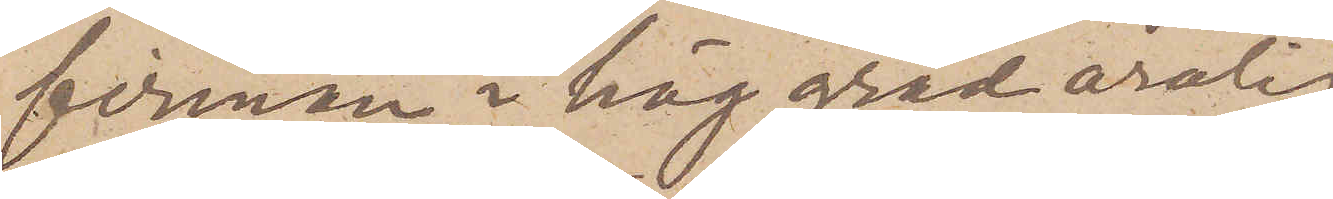firman i hög grad orolig
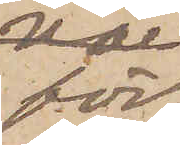för
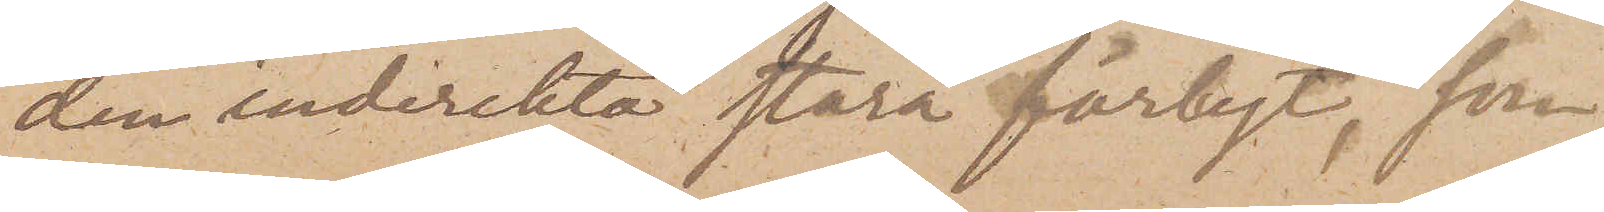den indirekta stora förlust, som
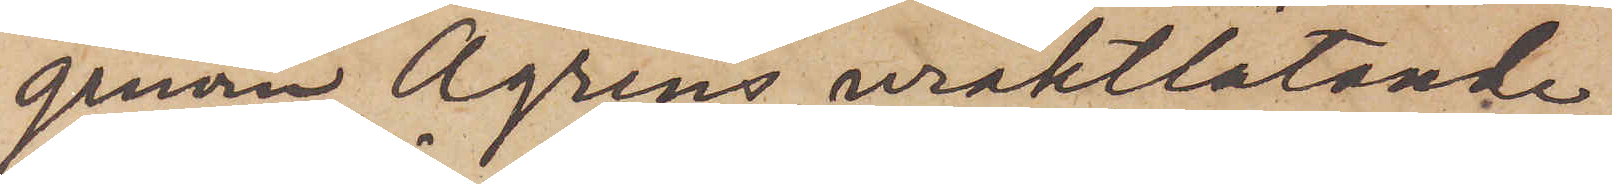genom Ågrens uraktlåtande
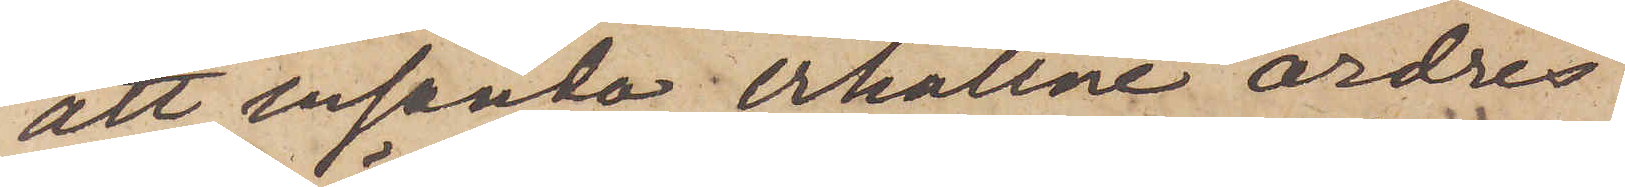att insända erhållne ordres
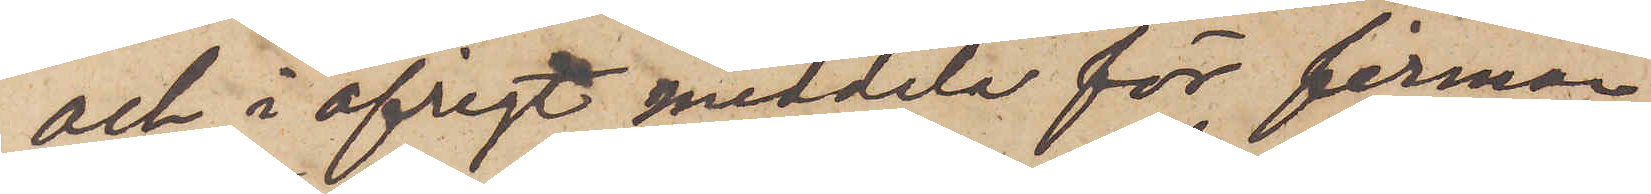och i öfrigt meddela för firman
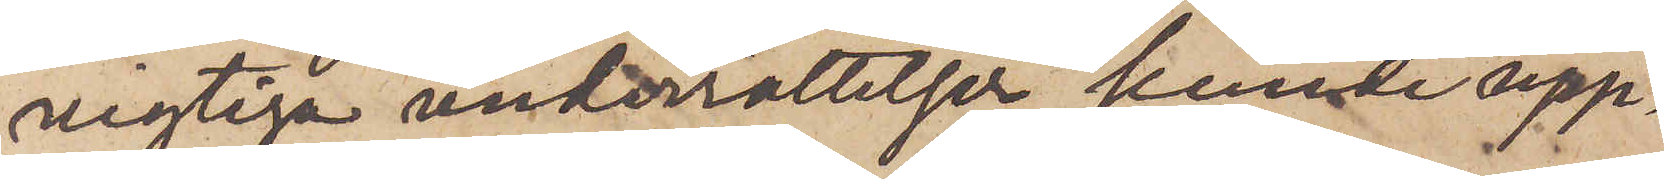vigtiga underrättelser kunde upp¬
